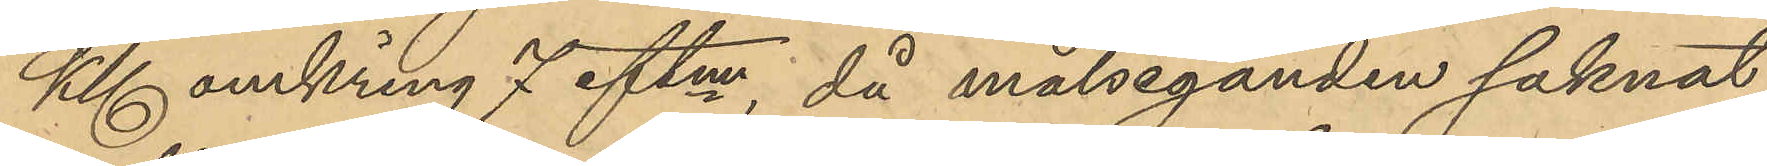Kl omkring 7 eftm, då målseganden saknat
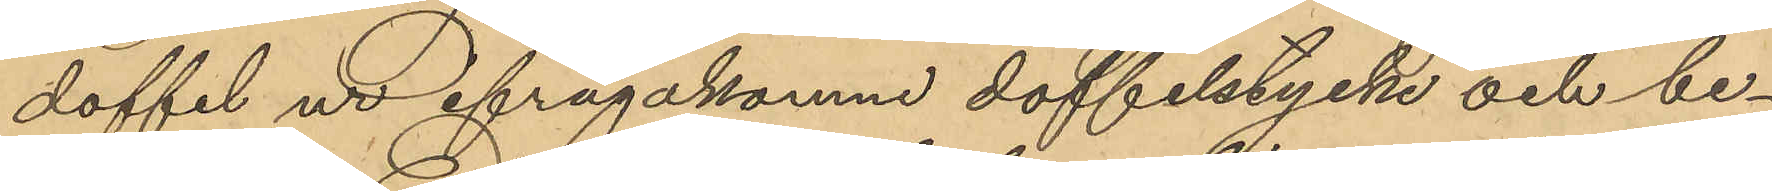doffel ur ifrågakomne doffelstycke och be¬
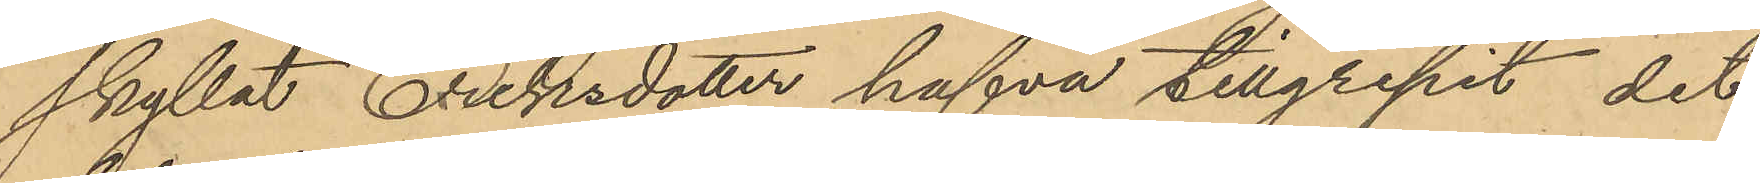skyllat Eriksdotter hafva tillgripit det
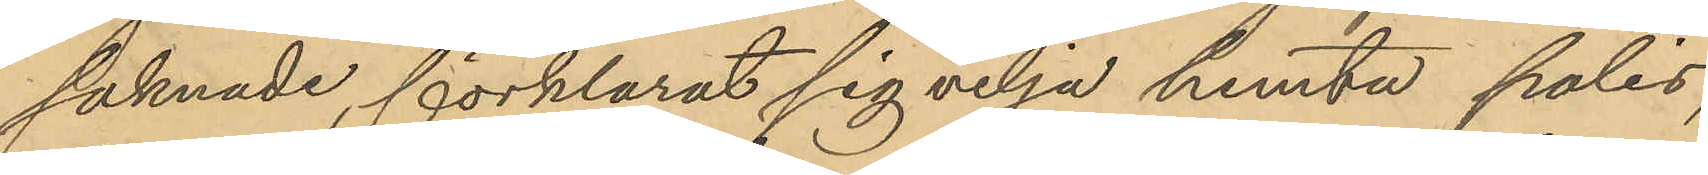saknade, förklarat sig vilja hämta polis,
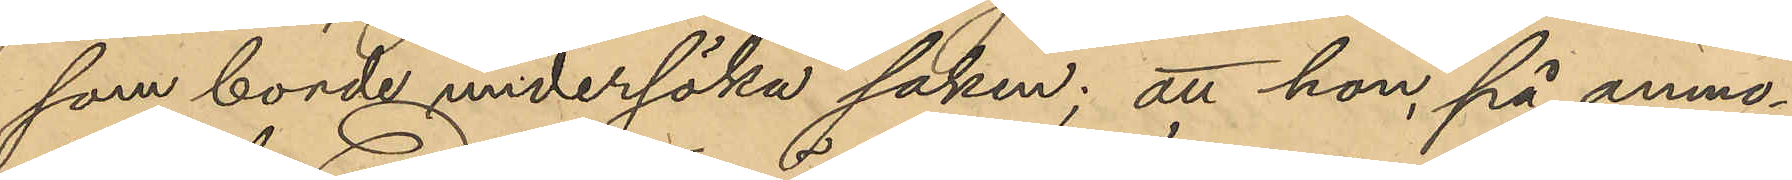som borde undersöka saken; att hon, på anmo¬
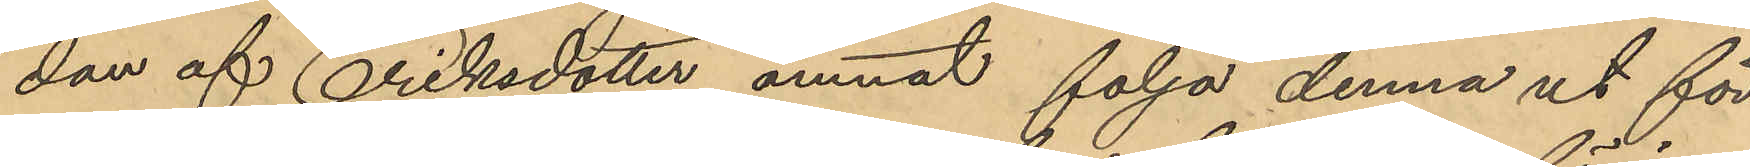dan af Eriksdotter ämnat följa denna ut för
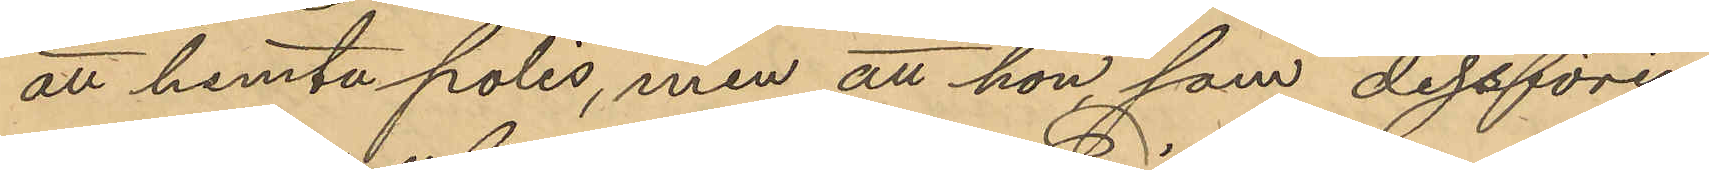att hämta polis, men att hon som dessförin-
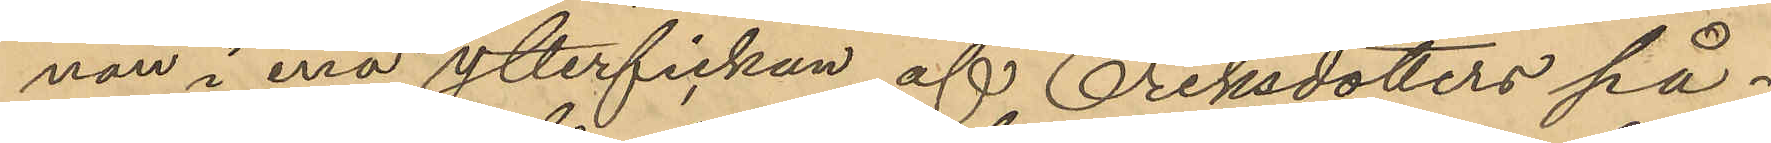nan i ena ytterfickan af Eriksdotters på¬
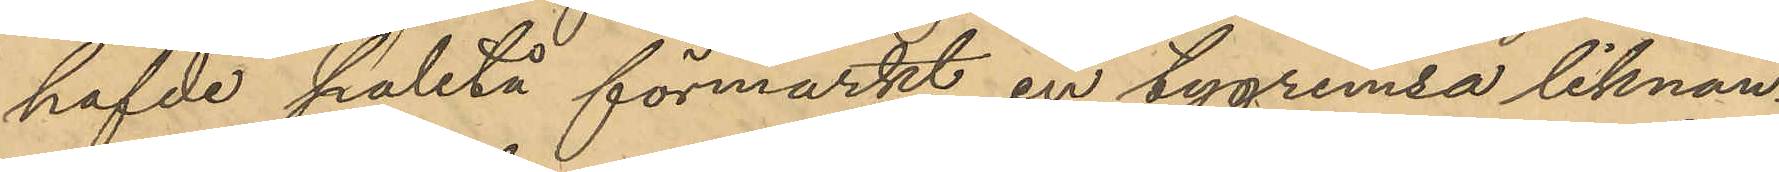hafde paletå förmärkt en tygremsa liknan¬
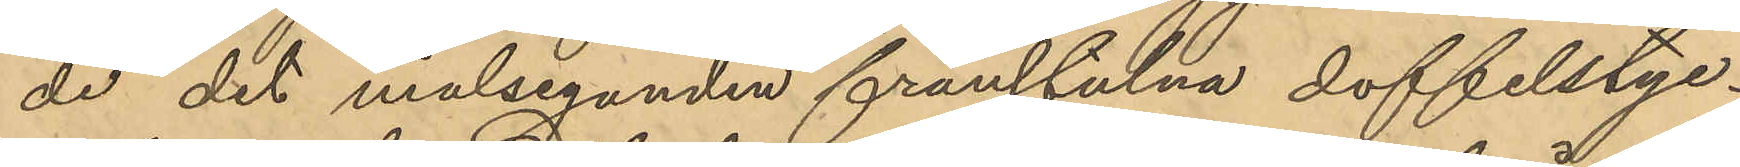de det målseganden frånstulna doffelstyc¬
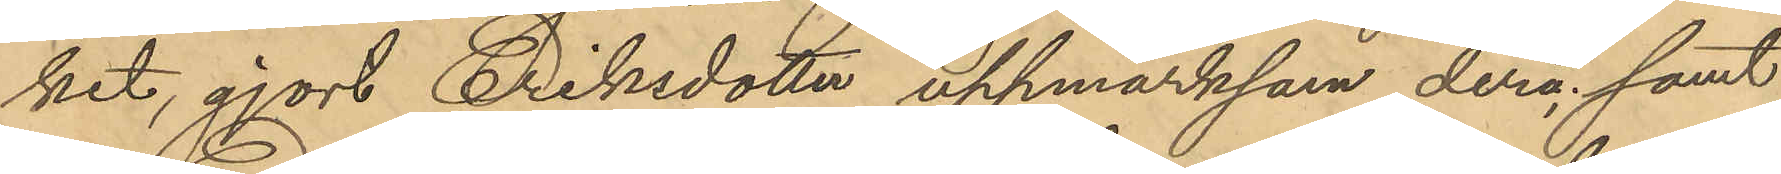ket, gjort Eriksdotter uppmärksam derå; samt
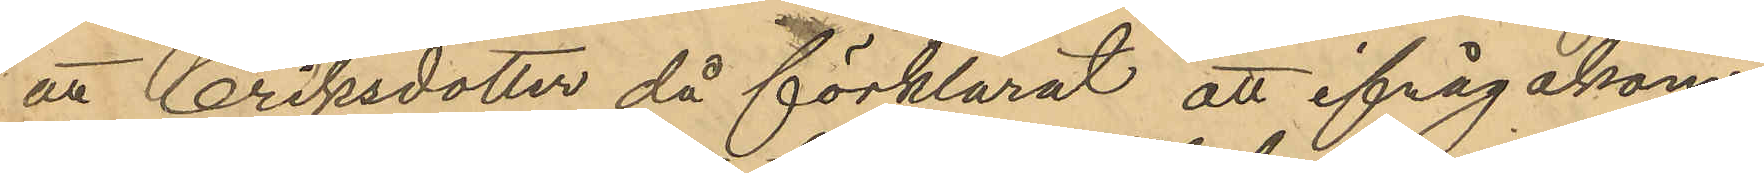att Eriksdotter då förklarat att ifrågakom¬
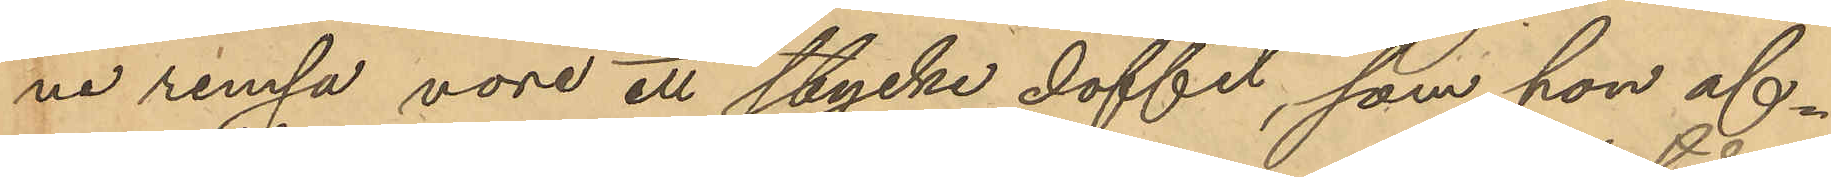ne remsa vore ett stycke doffel, som hon af¬
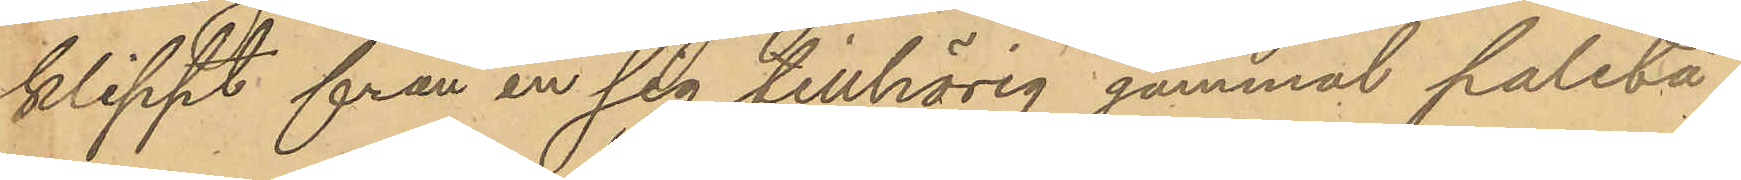klippt från en sig tillhörig gammal paletå.
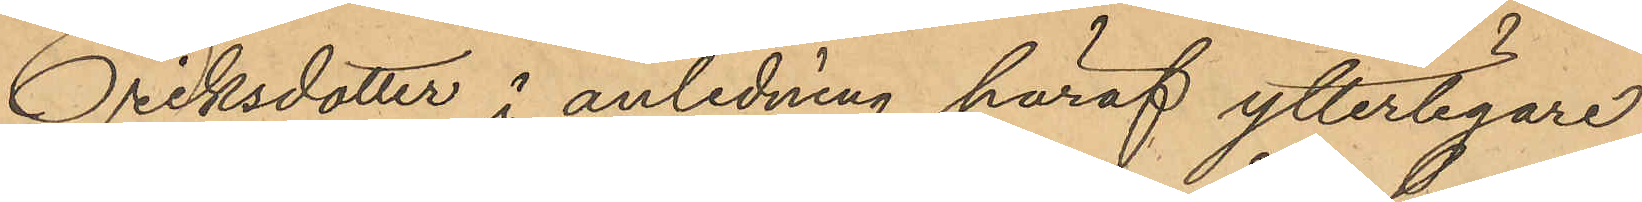Eriksdotter i anledning häraf ytterligare
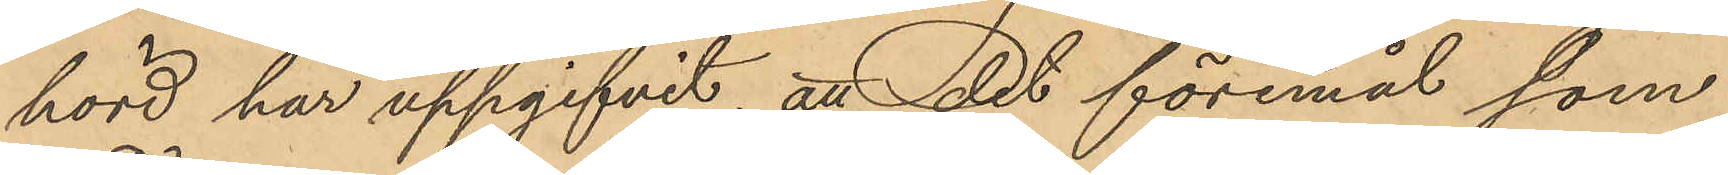hörd har uppgifvit, att det föremål som
